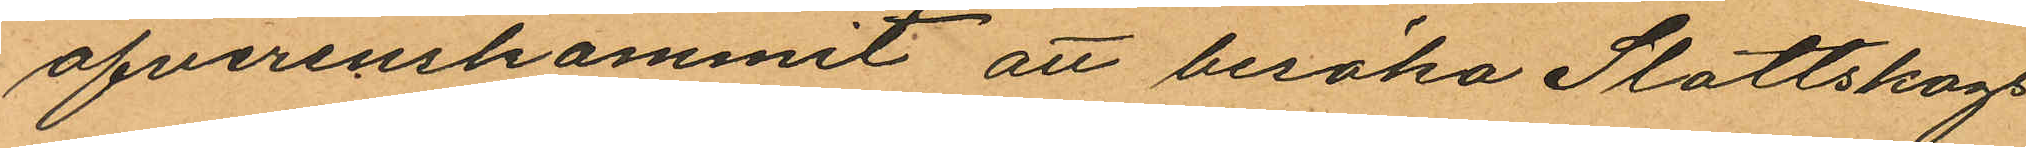öfverenskommit att besöka Slottskogs
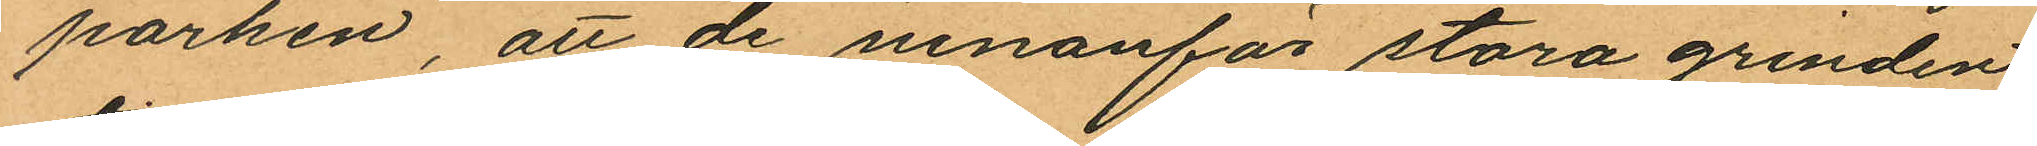parken, att de innanför stora grinden
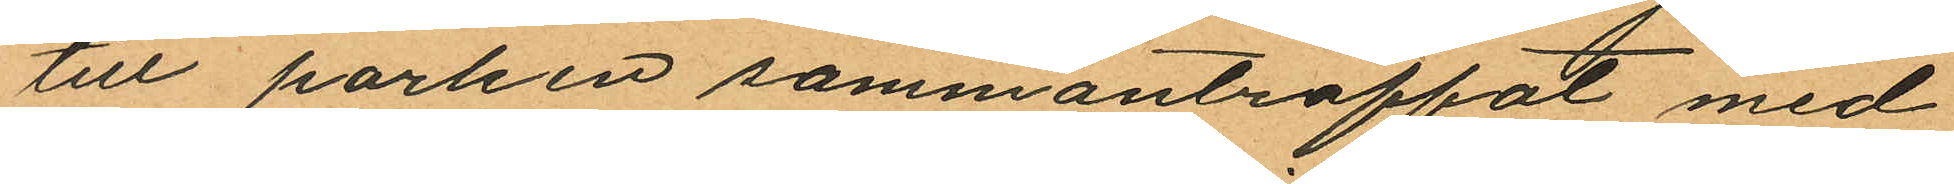till parken sammanträffat med
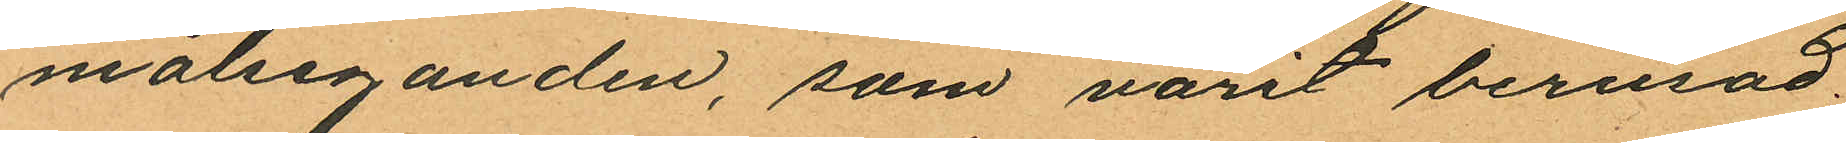målseganden, som varit berusad;
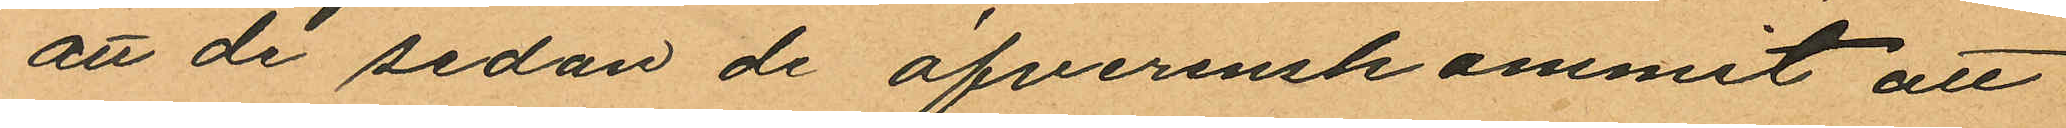att de sedan de öfverenskommit att
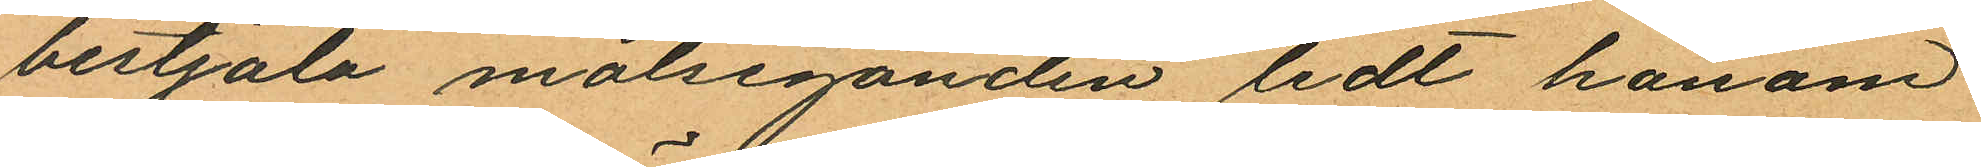bestjäla målseganden ledt honom
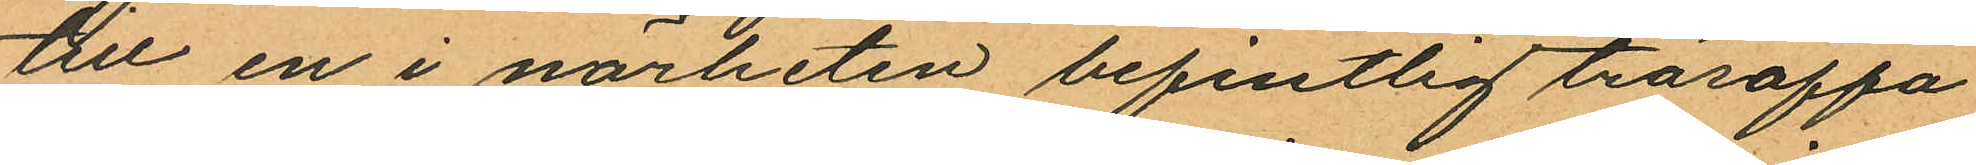till en i närheten befintlig träsoffa
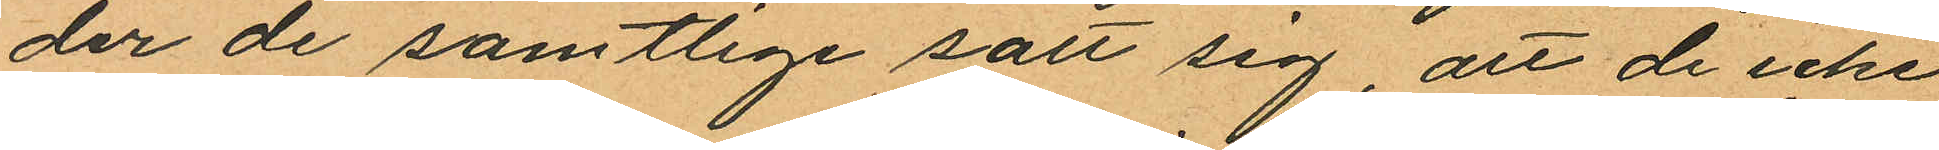der de samtlige satt sig, att de icke
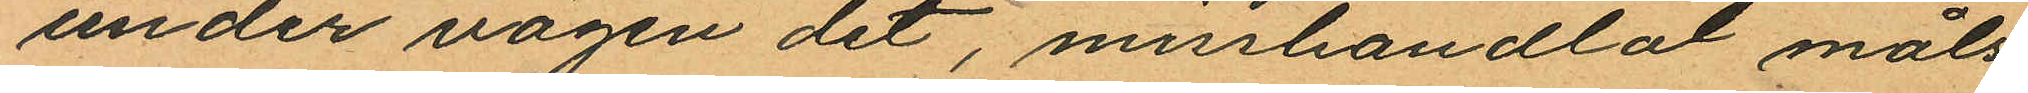under vägen dit, misshandlat måls¬
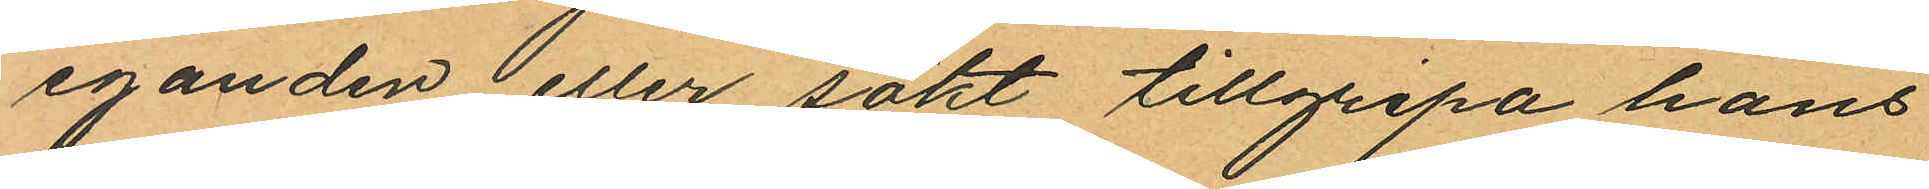eganden eller sökt tillgripa hans
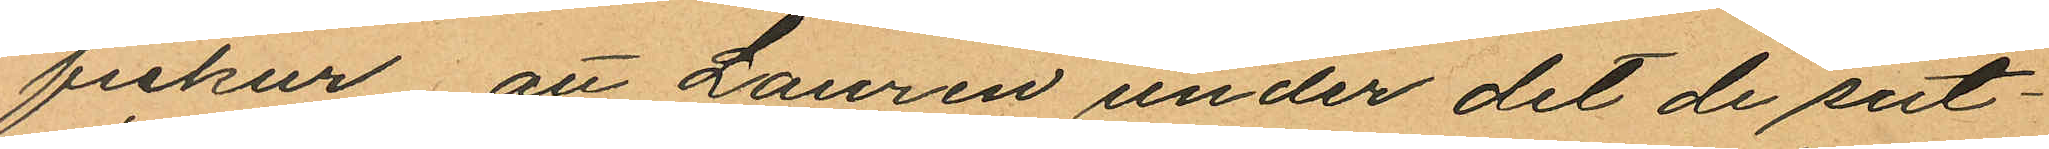fickur att Lauren under det de sut¬
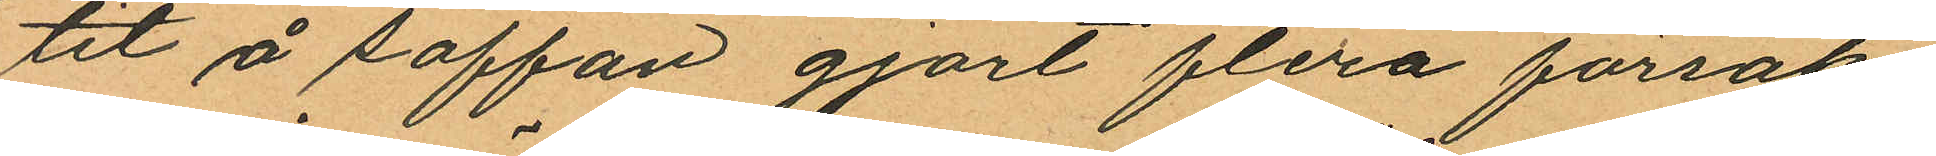tit å soffan gjort flera försök
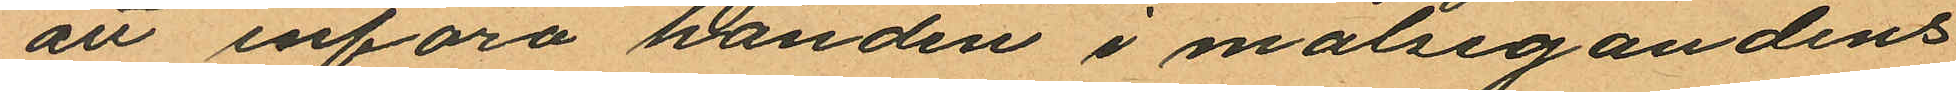att införa handen i målsegandens
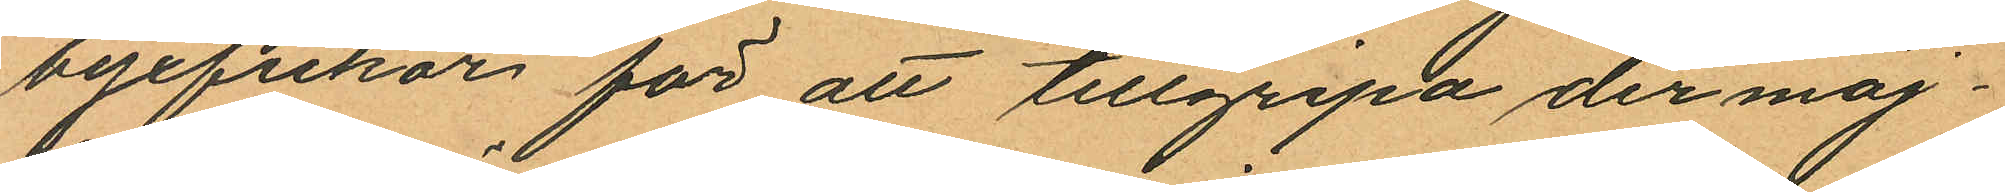byxfickor för att tillgripa der möj¬
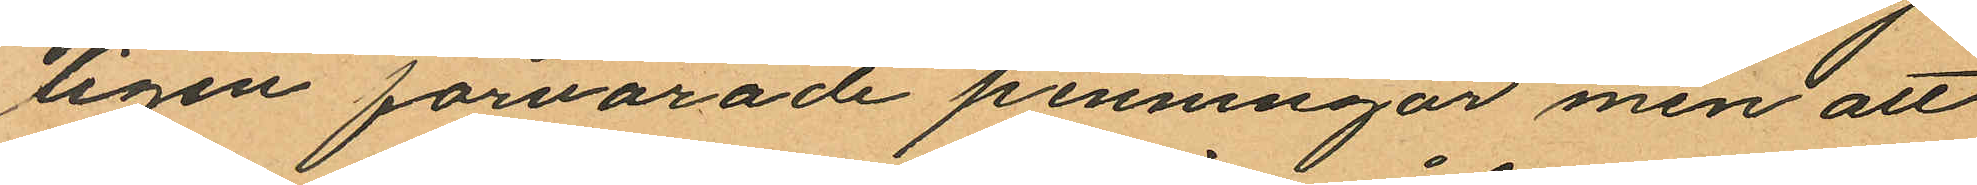ligen förvarade penningar men att
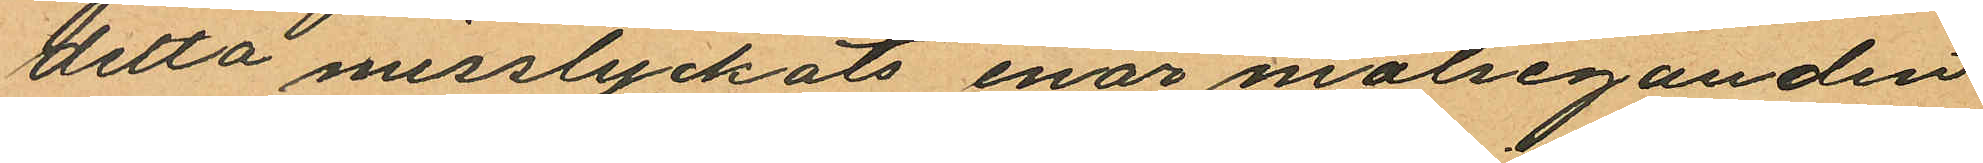detta misslyckats enär målseganden
